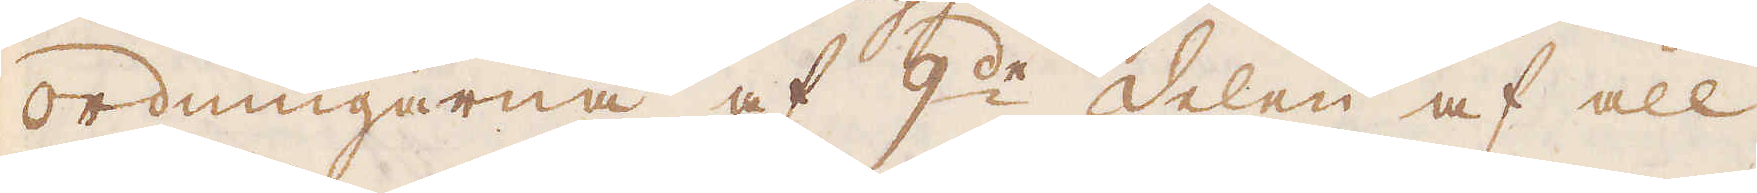ordningarna af 9:de delen af all
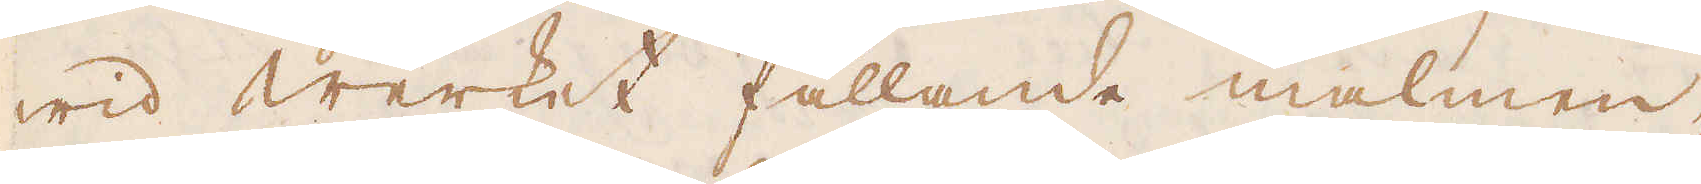wid werket fallande malmen,
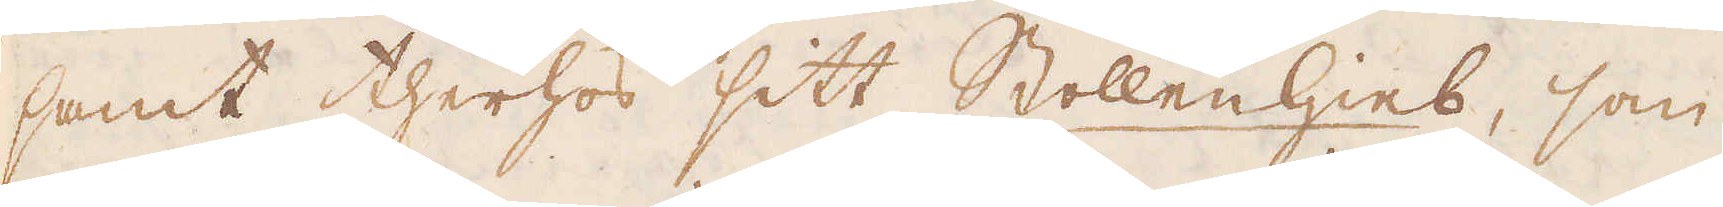samt therhos sitt Stollenhieb, som
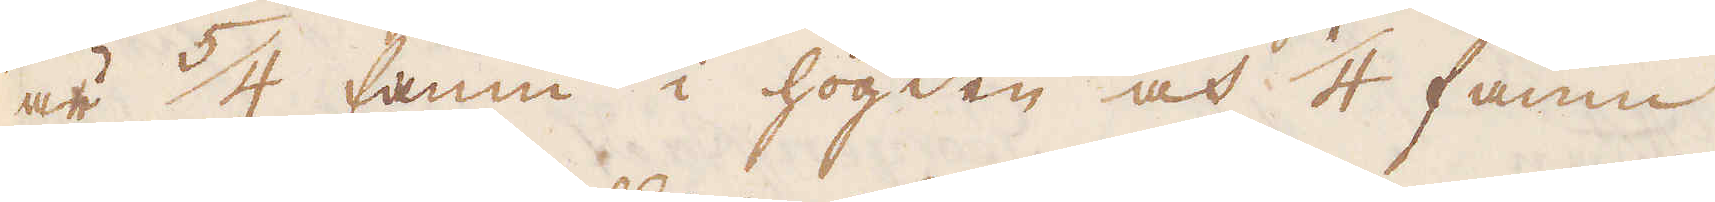är 5/4 famn i högden och 1/4 famn
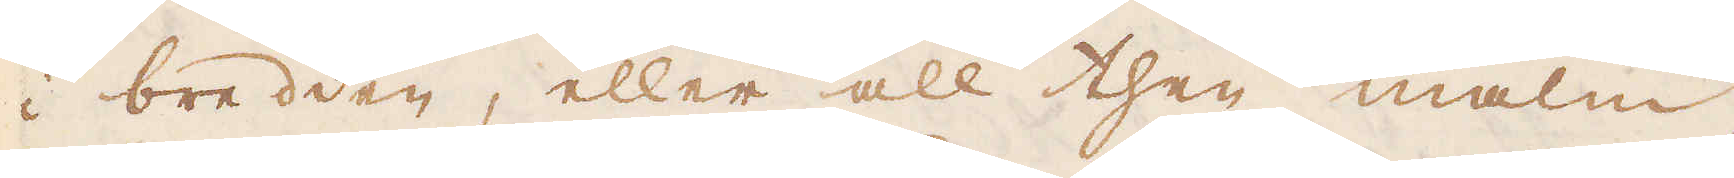i bredden, eller all then malm,
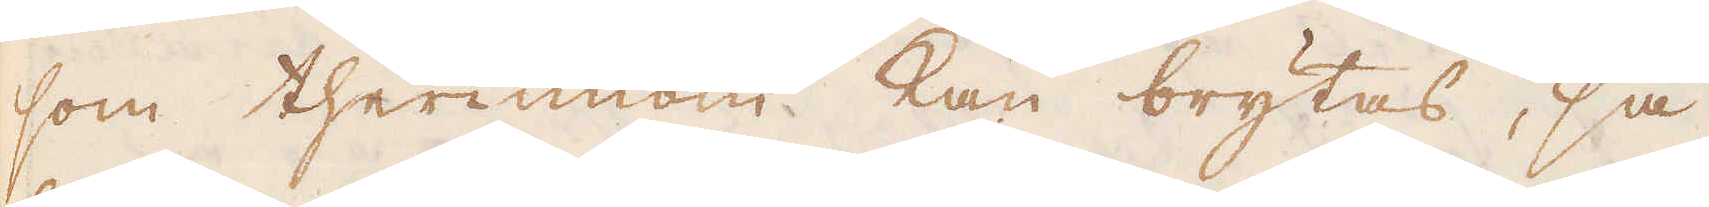som therinnom kan brytas, så
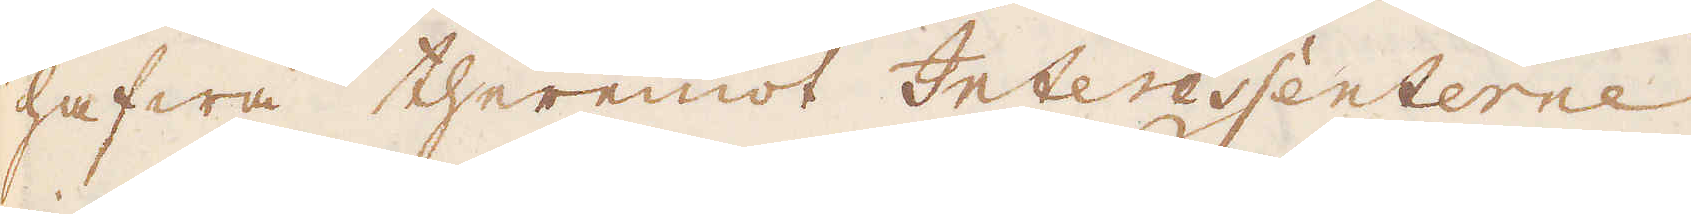hafwa theremot Interessenterne
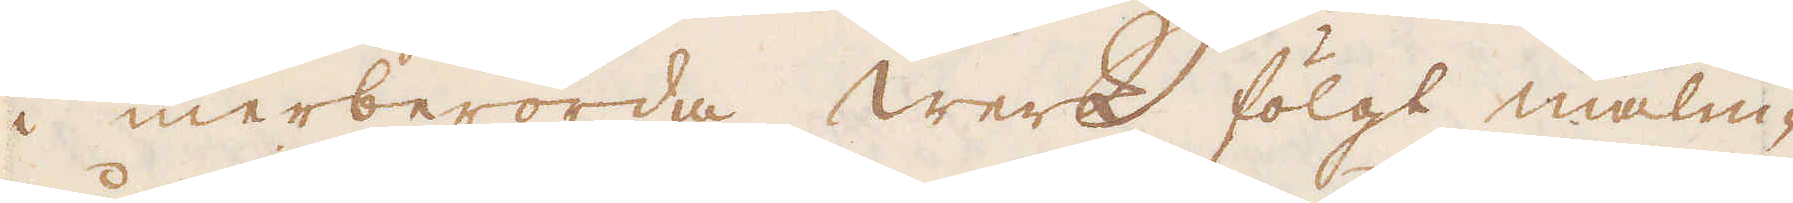i merberörda werk fölgt malm-
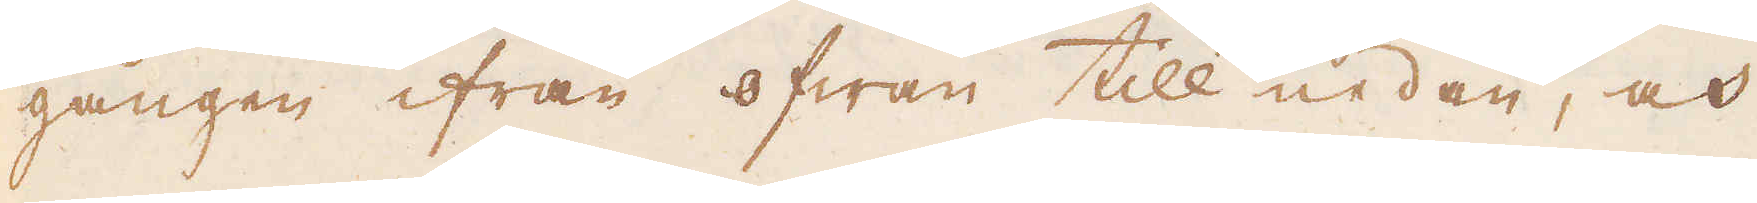gången ifrån ofwan till nedan, och
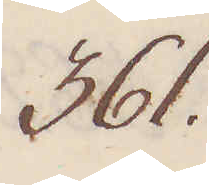361.
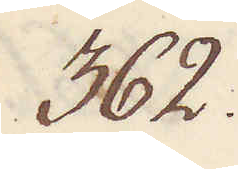362.
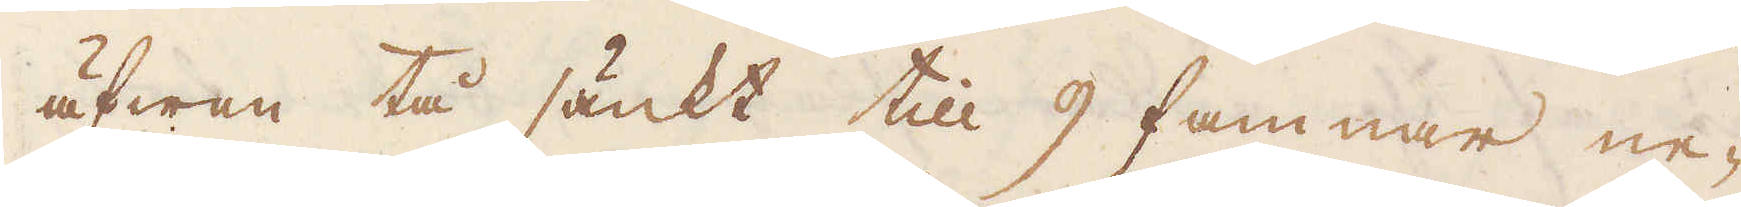äfwen tå sänkt till 9 famnar ne-
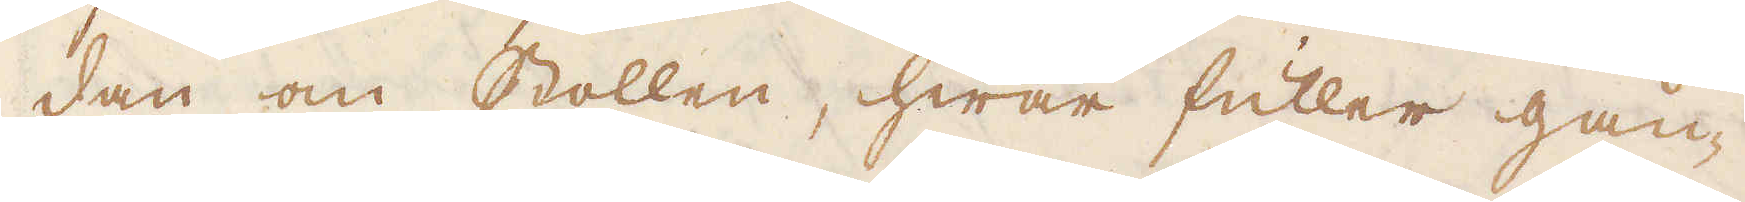dan om stollen, hwar fuller gån-
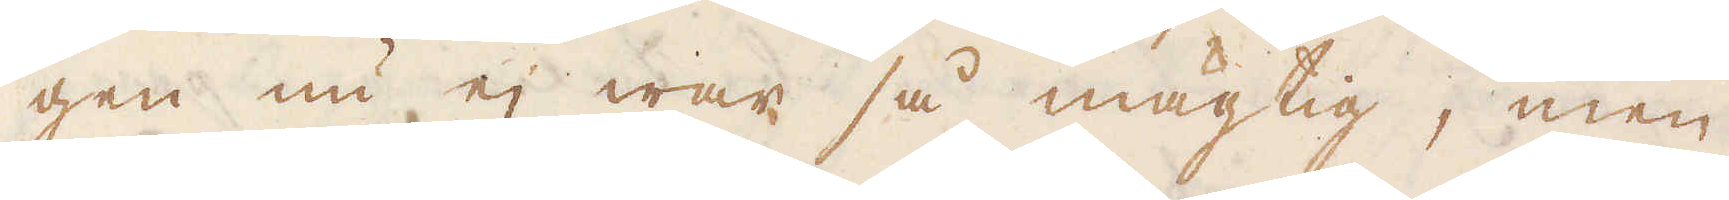gen nu ej war så mägtig, men
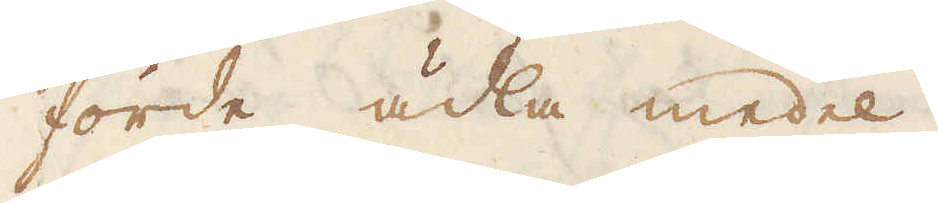förde ädla medel.
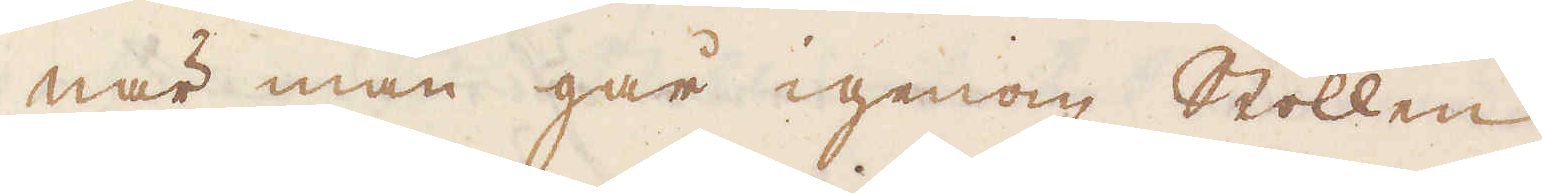När man går igenom stollen
